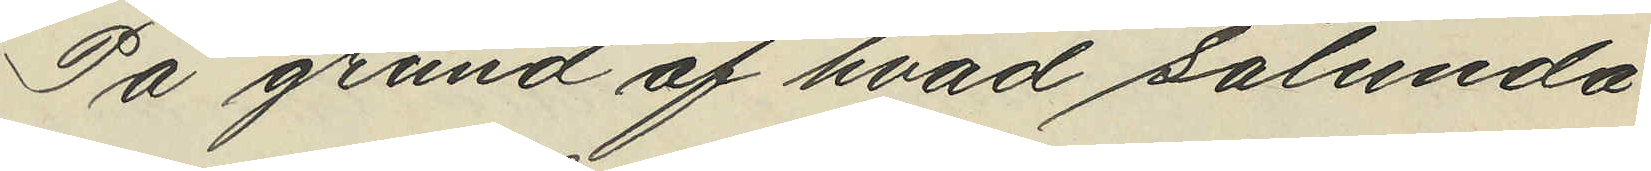På grund af hvad sålunda
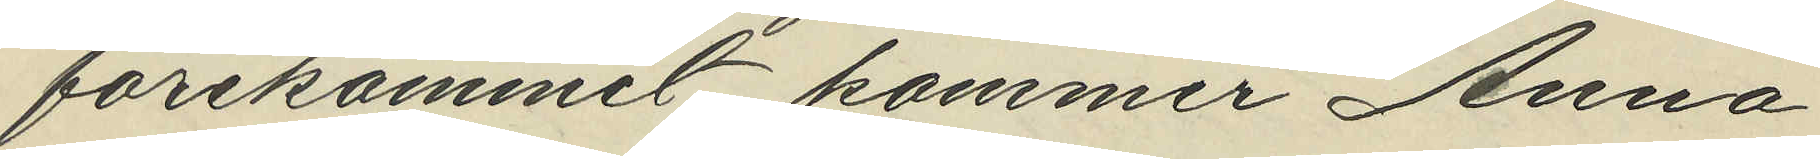förekommit kommer Anna
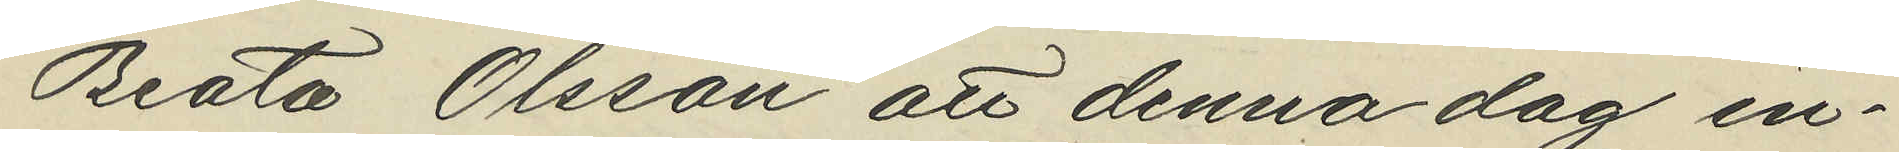Beata Olsson att denna dag in¬
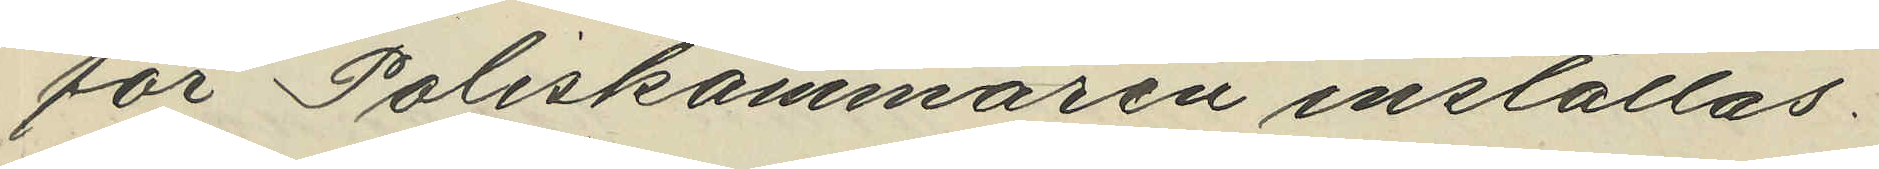för Poliskammaren inställas.
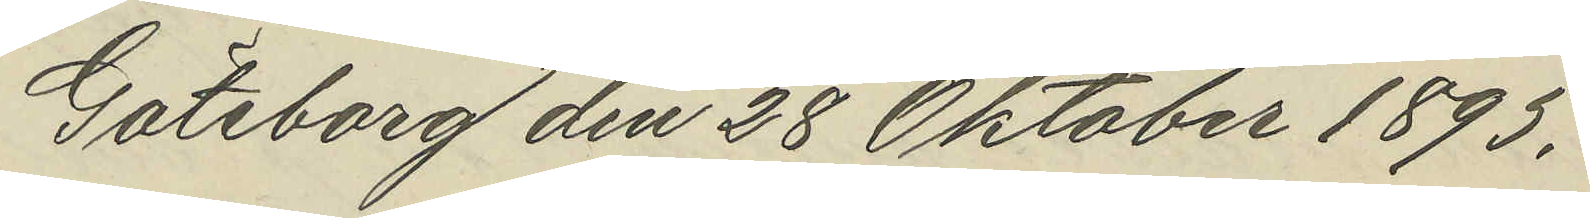Göteborg den 28 Oktober 1895.
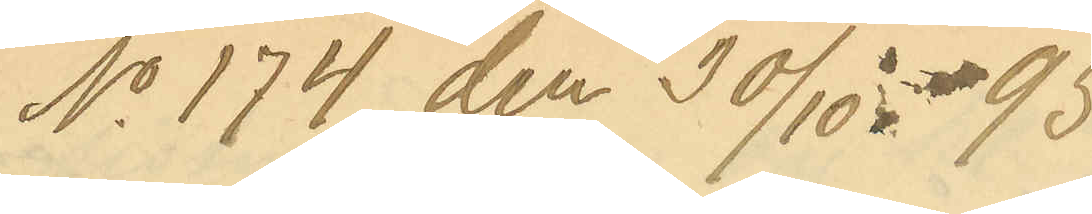No 174 den 30/10- 95.
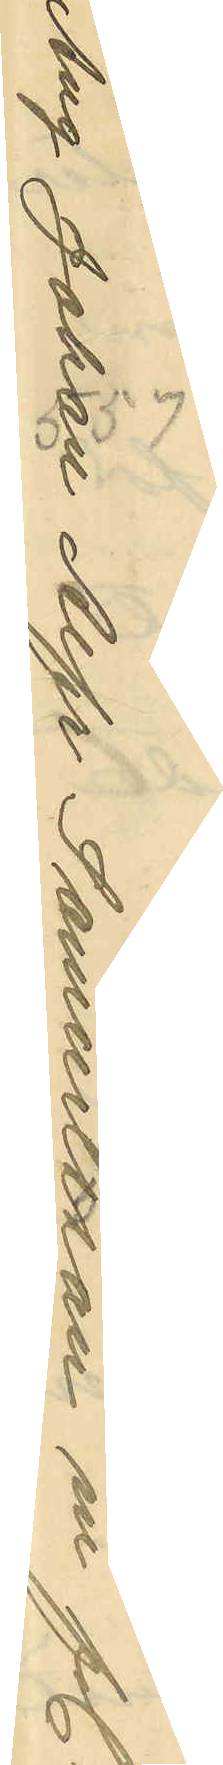Ang Johan Alfr Samuelsson m fl.
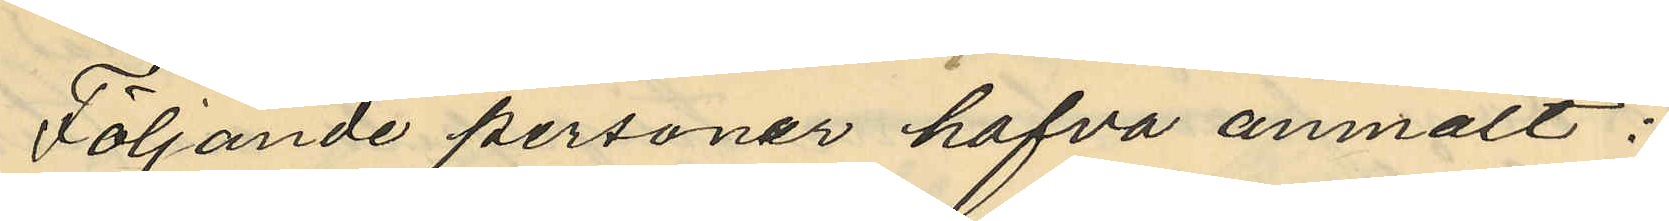Följande personer hafva anmält:
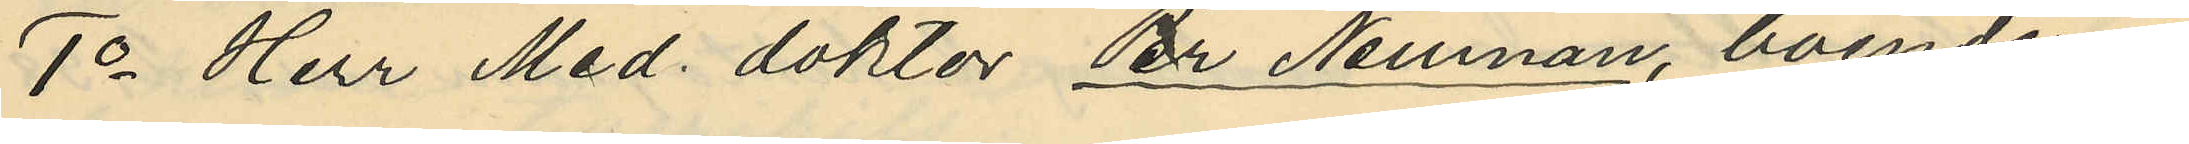1o Herr Med. doktor Per Neuman, boende i
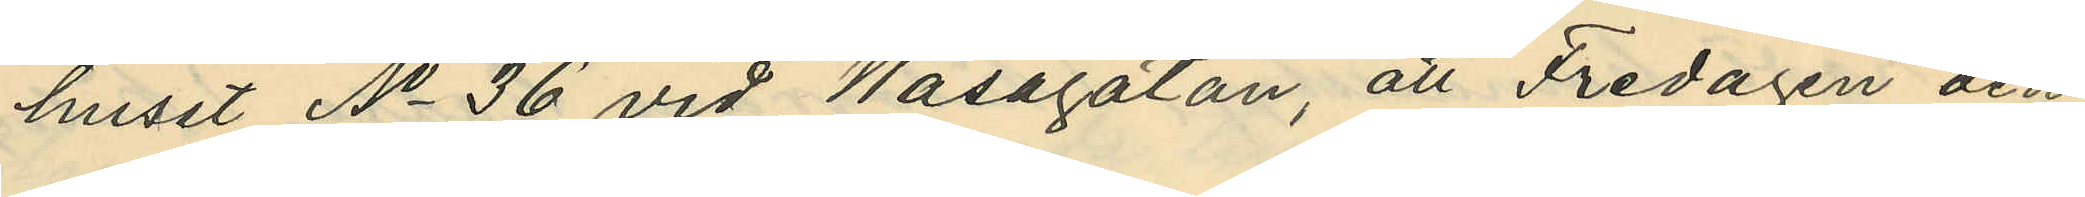huset No 36 vid Wasagatan, att Fredagen den
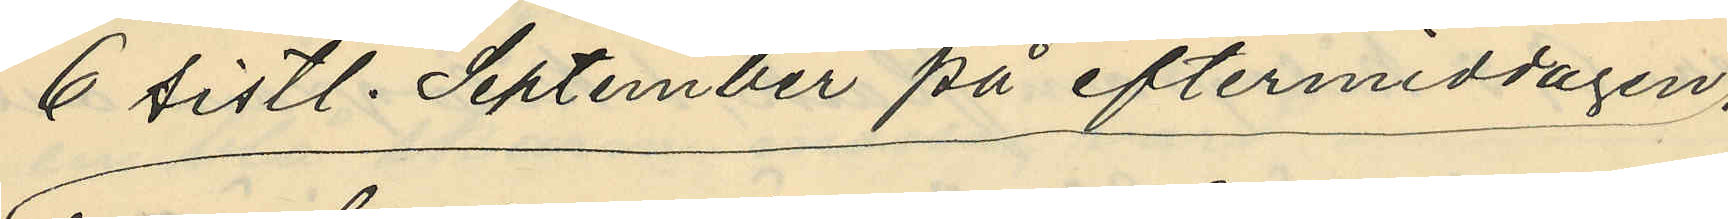6 sistl. September på eftermiddagen,
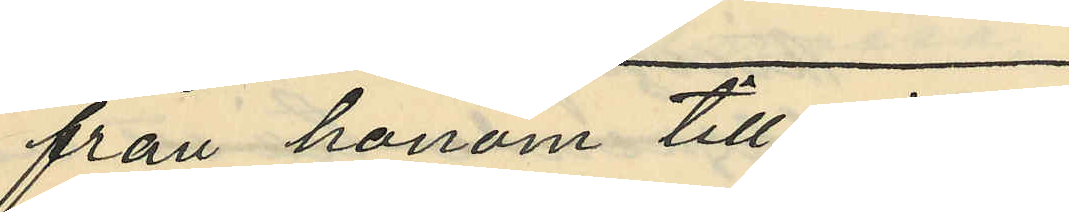från honom tillgripits
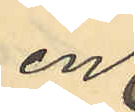en
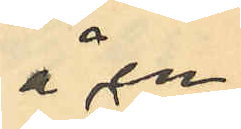å en
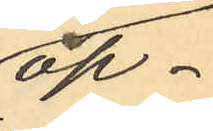öp¬
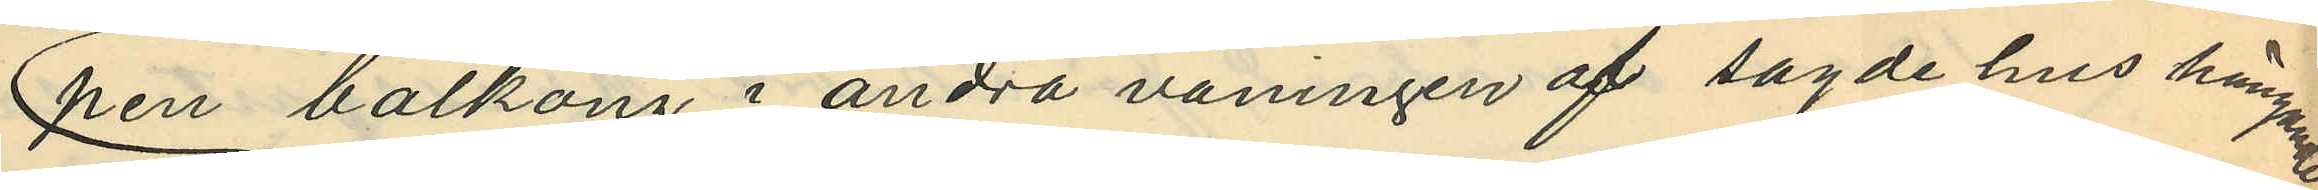pen balkong i andra våningen af sagde hus hängande
